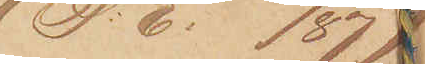(P: E: 133/87)
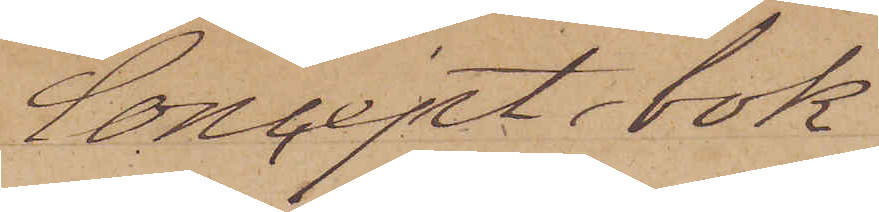Concept bok
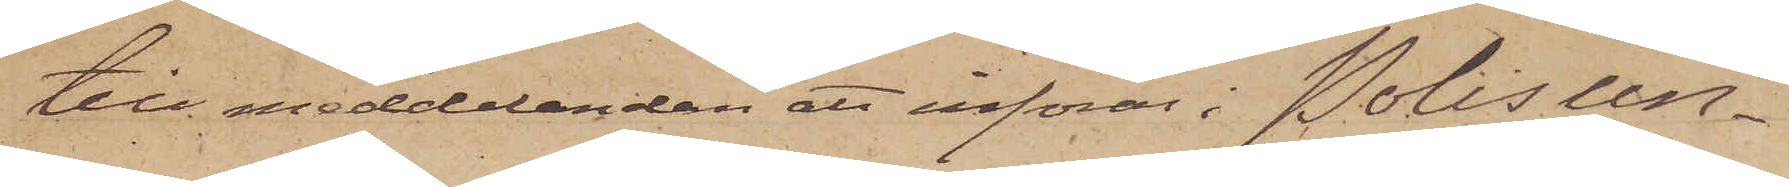till meddelanden att införas i Polisun¬
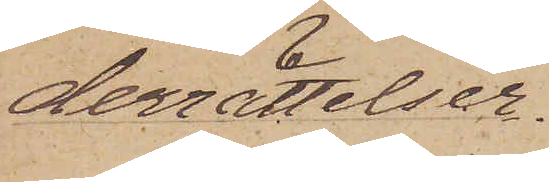derrättelser.
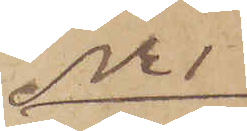No 1
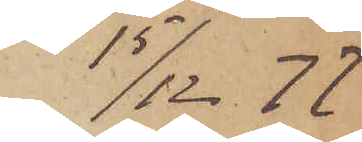15/12  77
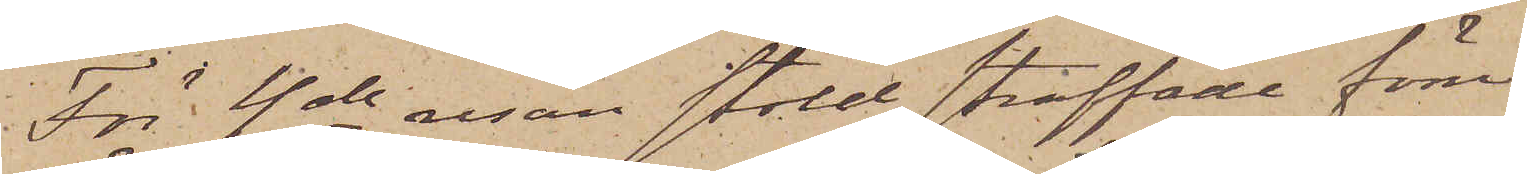För 4de resan stöld straffade före
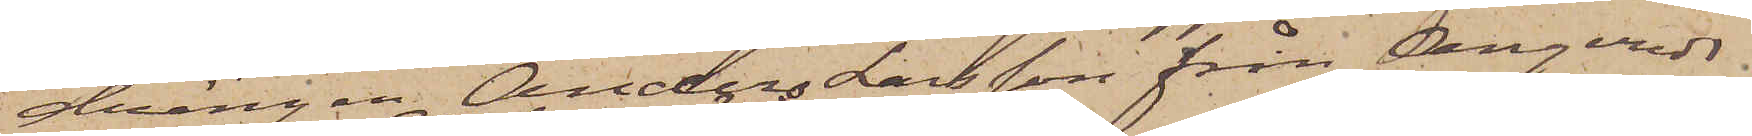drängen Anders Larsson från Angereds
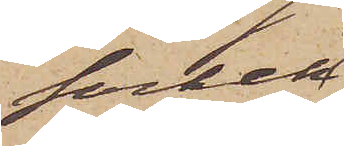socken
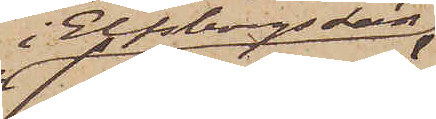i Elfsborgs Län
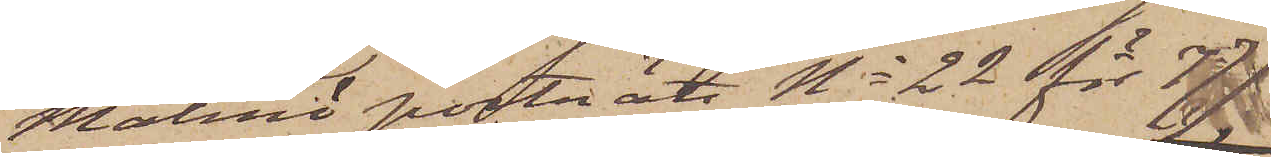(Malmö porträtt No 22 för 77)
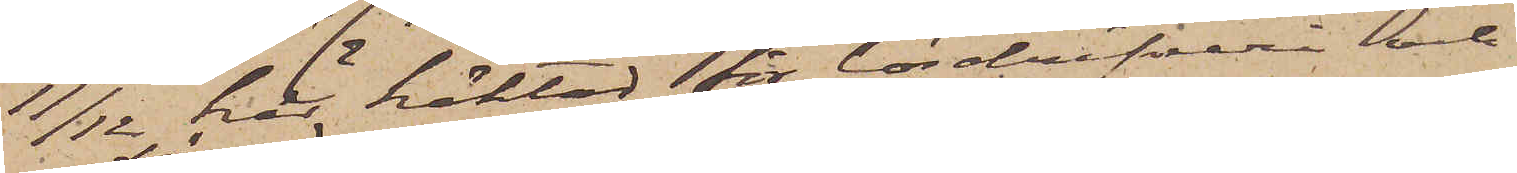11/12 här häktad för lösdrifveri och
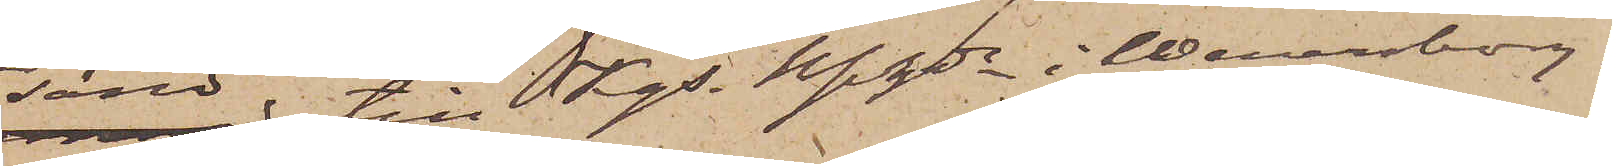sänd till Kgs Bfhde i Wenerborg.
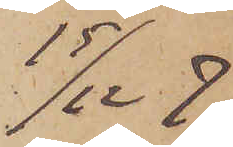15/12 77
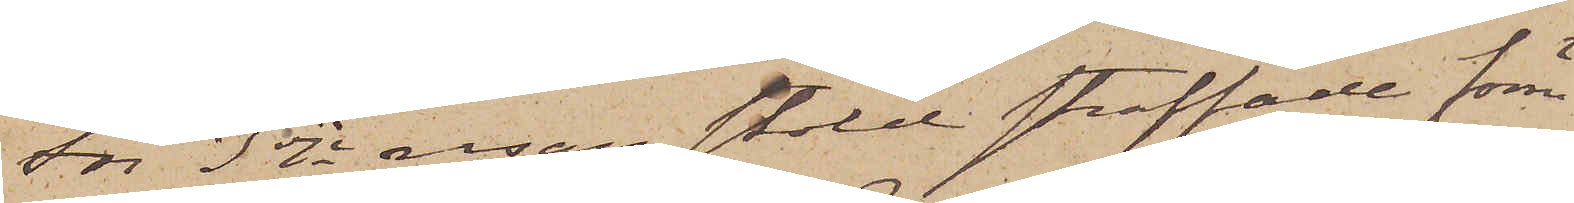För 3dje resan stöld straffade förre
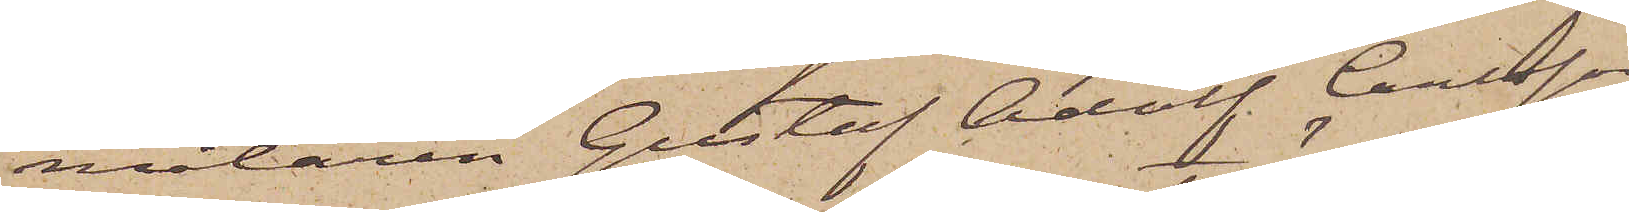målaren Gustaf Adolf Carlsson
